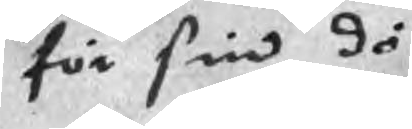för sin dö
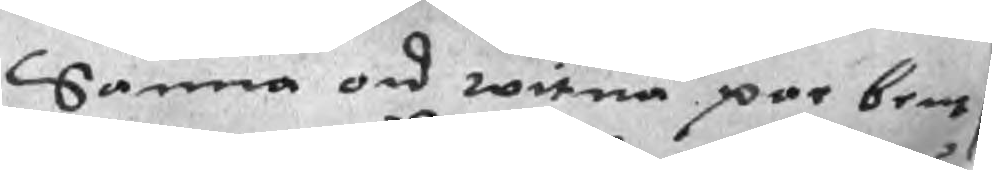Sanna ord witna par bents
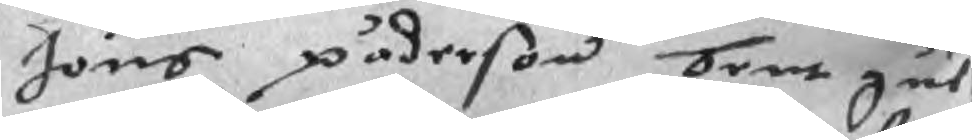Jöns päderson bent gul
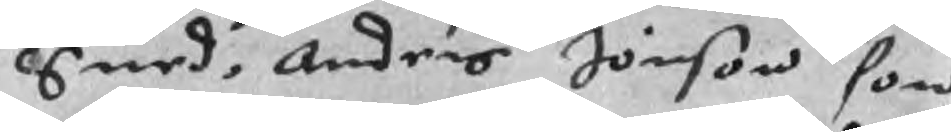Smed, Anders Jönson som
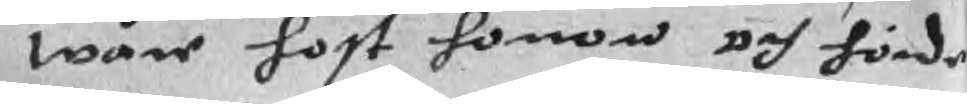wåre host honom och hörde
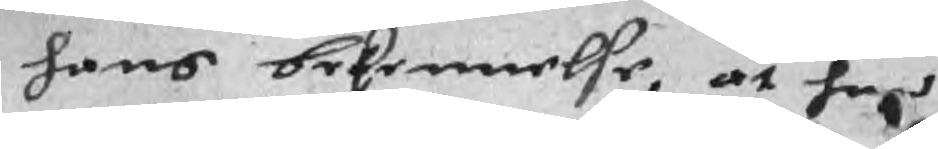hans bekennelse, at han
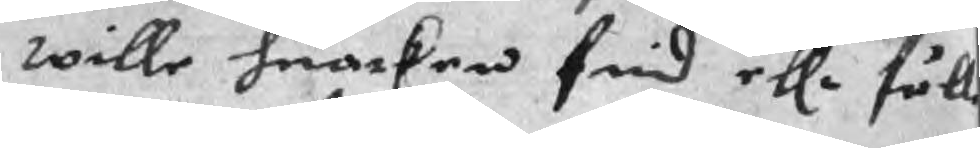wille huarken frid ellr fälle
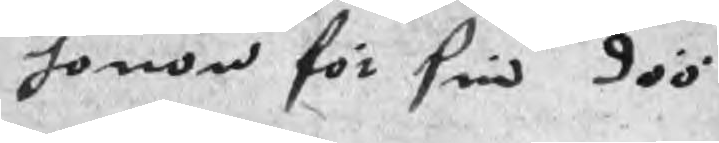honom för sin döö
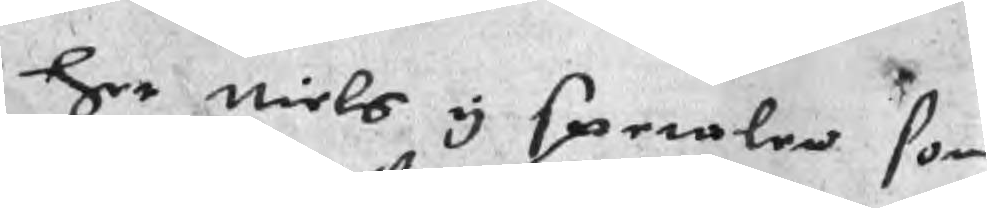her niels y speralen som
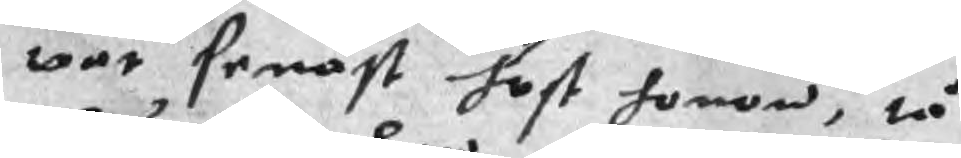war senast host honom, tå
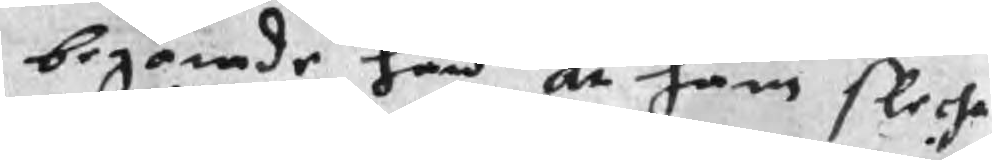begärade han at hans flecha
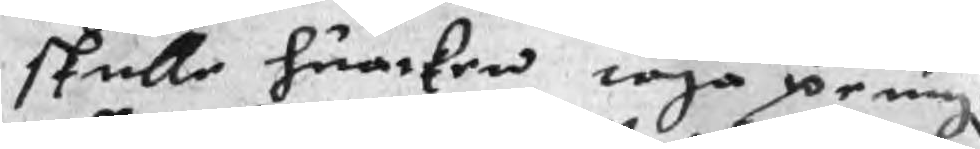skulle huarken taga pening
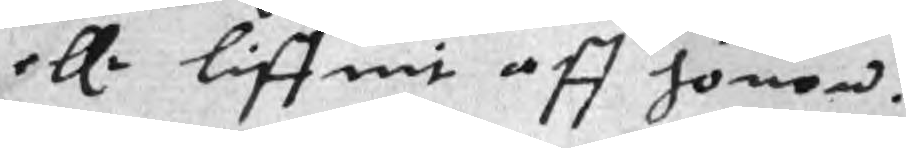ellr liffuit aff honom.
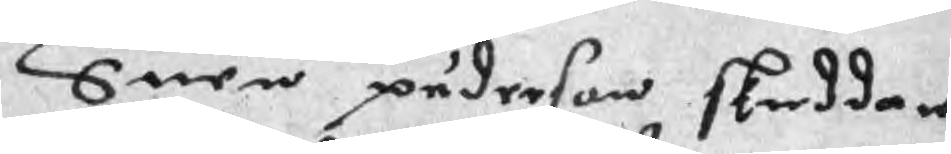Suen päderson skreddar
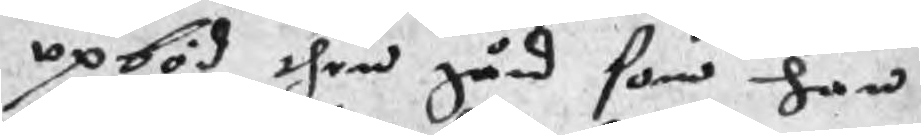opböd then gård som han
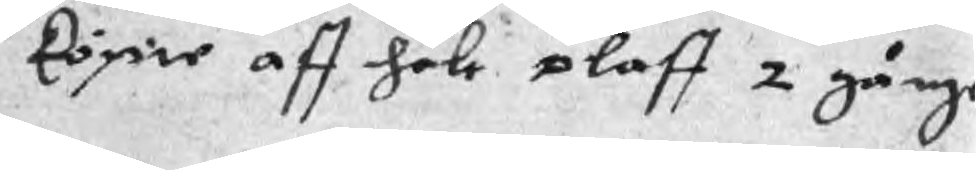köpie aff hale oloff 2 gånge
